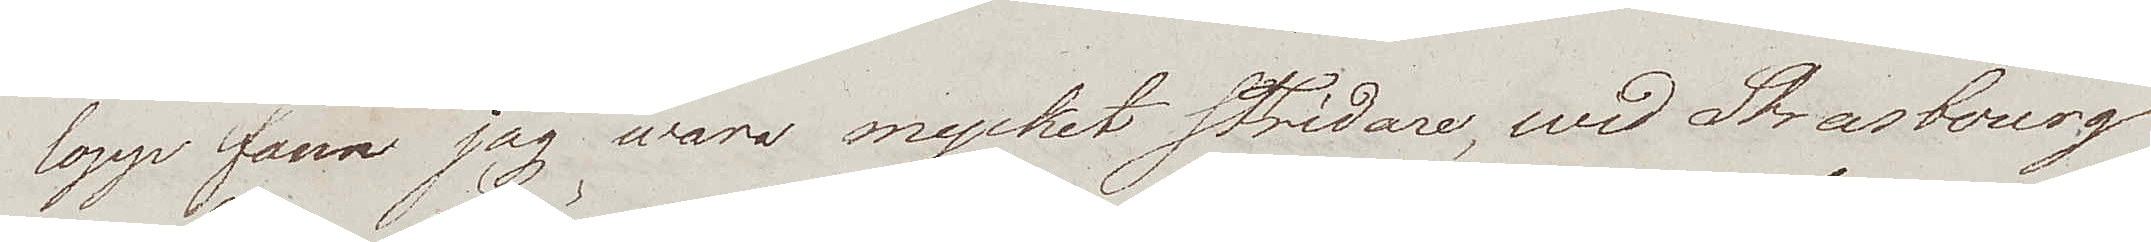lopp fann jag wara mycket stridare, wid Strasbourg
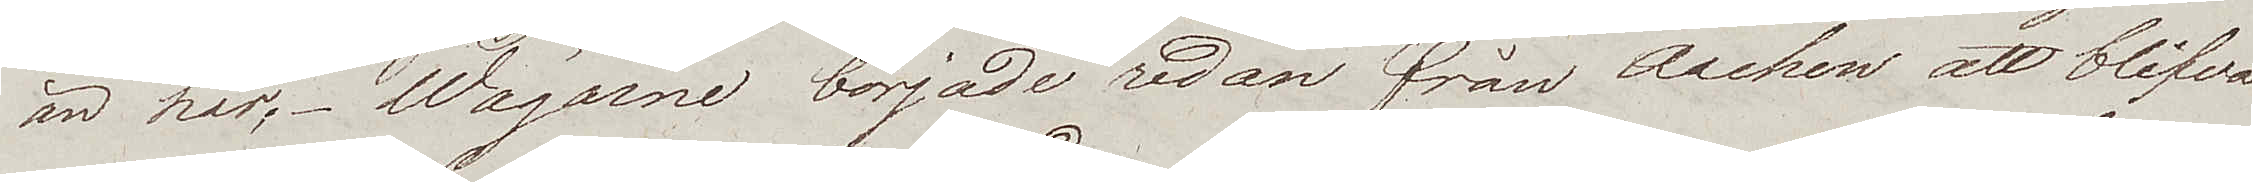än här. Wägarne började redan från Aachen att blifva
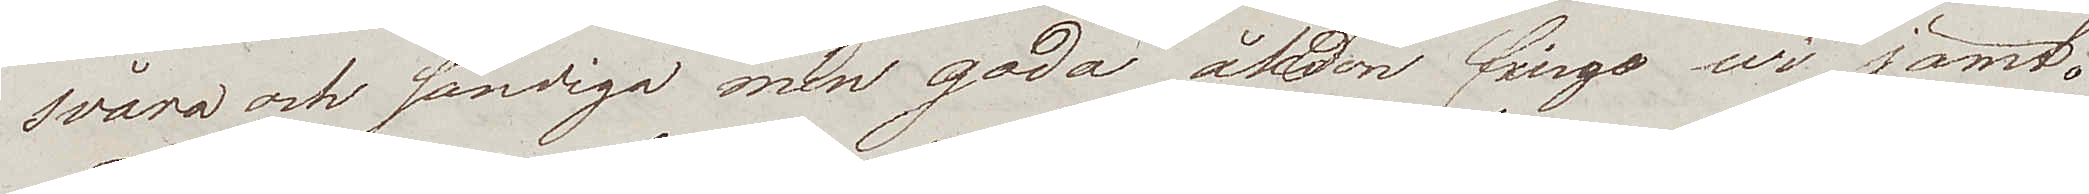svåra och sandiga men goda åkdon fingo wi jämt.
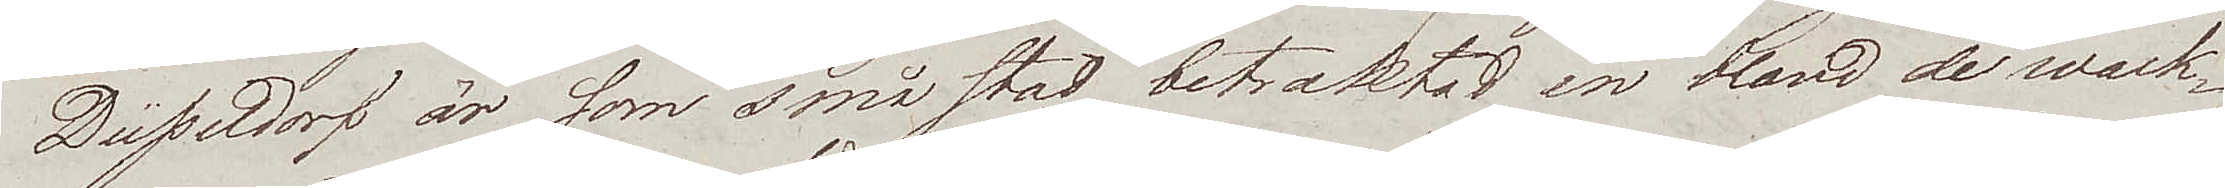Düsseldorf är som småstad betraktad en bland de wack¬
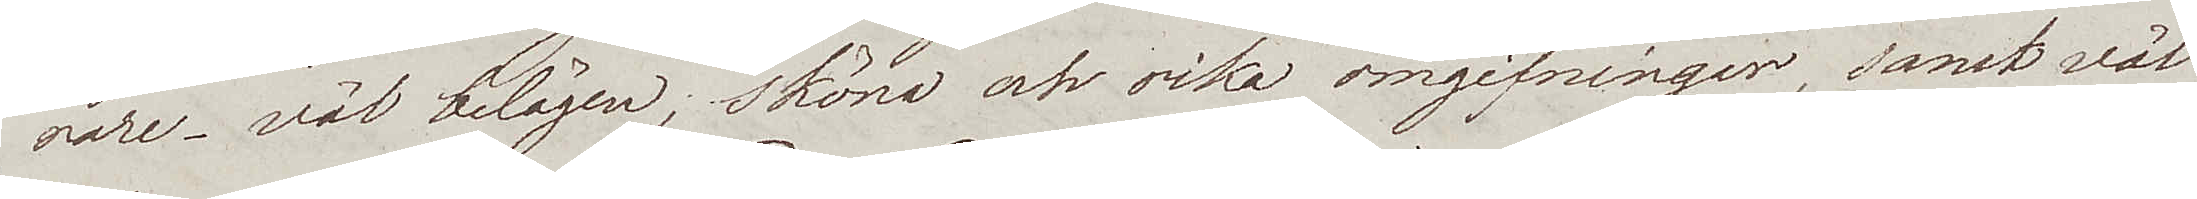rare – väl belägen; sköna och rika omgifningar, samt väl
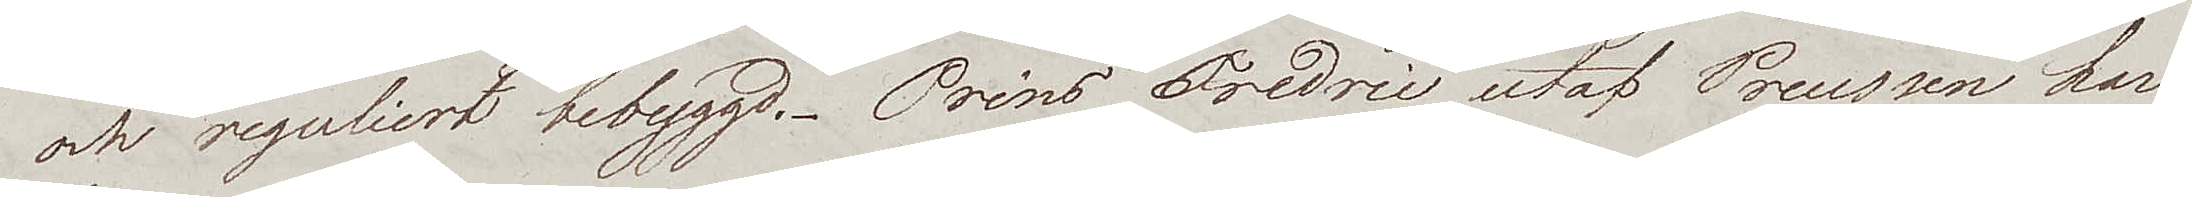och reguliert bebyggd. Prins Fredric utaf Preussen har
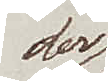der
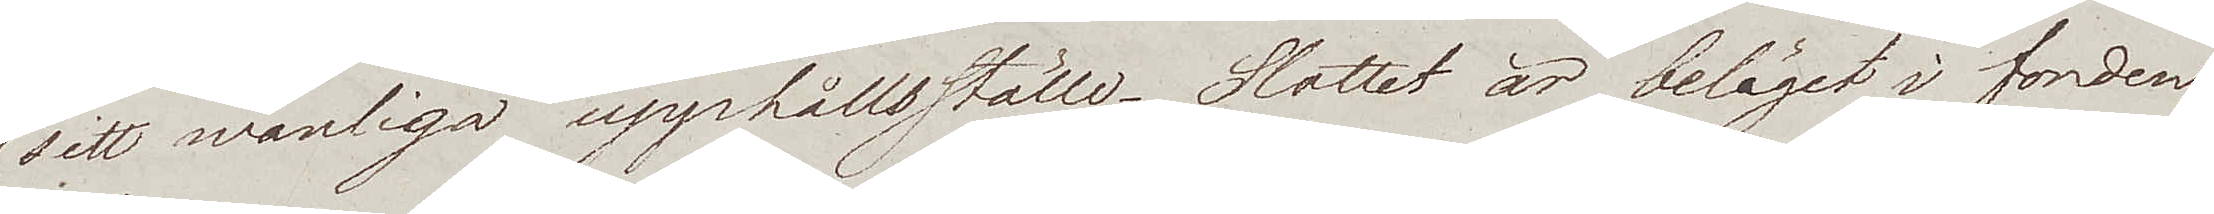sitt wanliga upphållsställe. Slottet är beläget i fonden
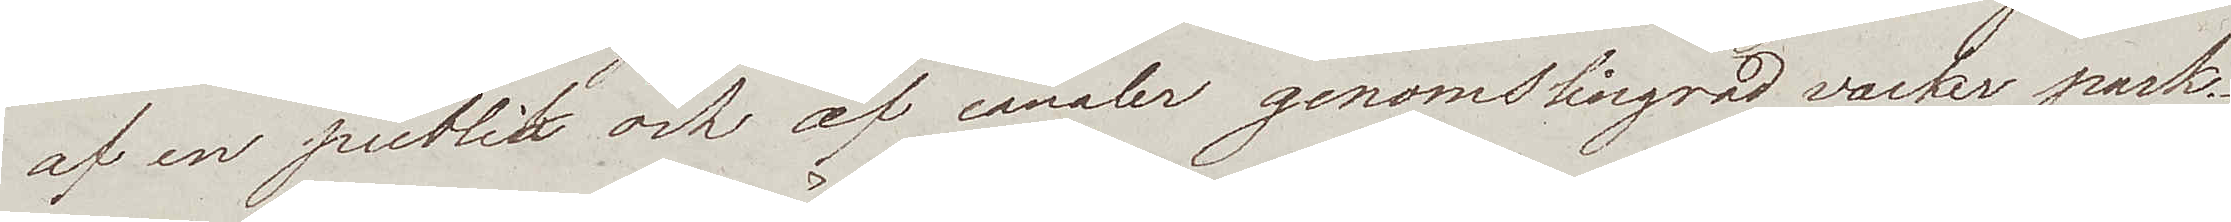af en publik och af canaler genomslingrad vacker park.¬
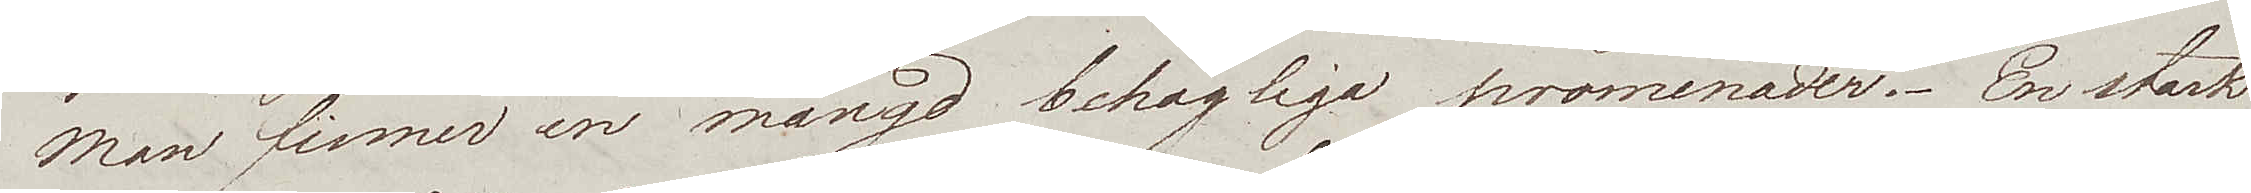Man finner en mängd behagliga promenader. En stark
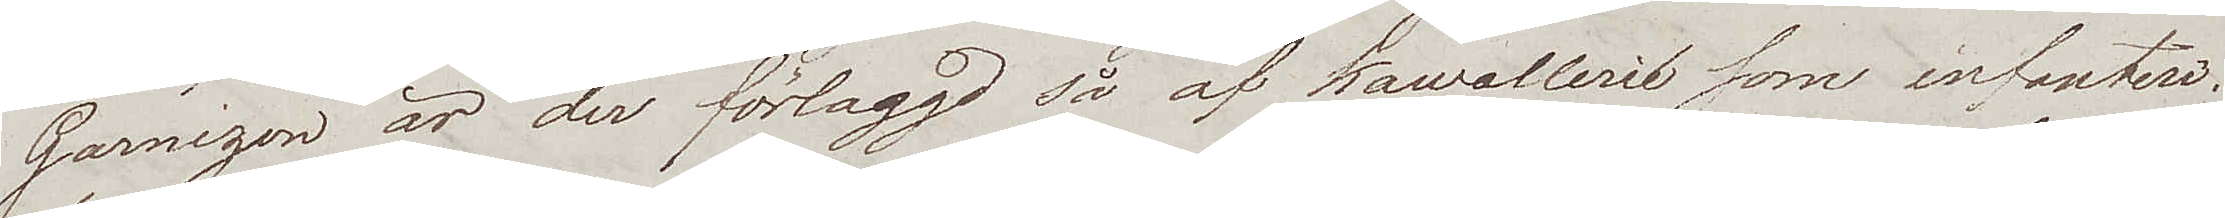Garnizon är der förlaggd så af Kawallerie som infanterie.
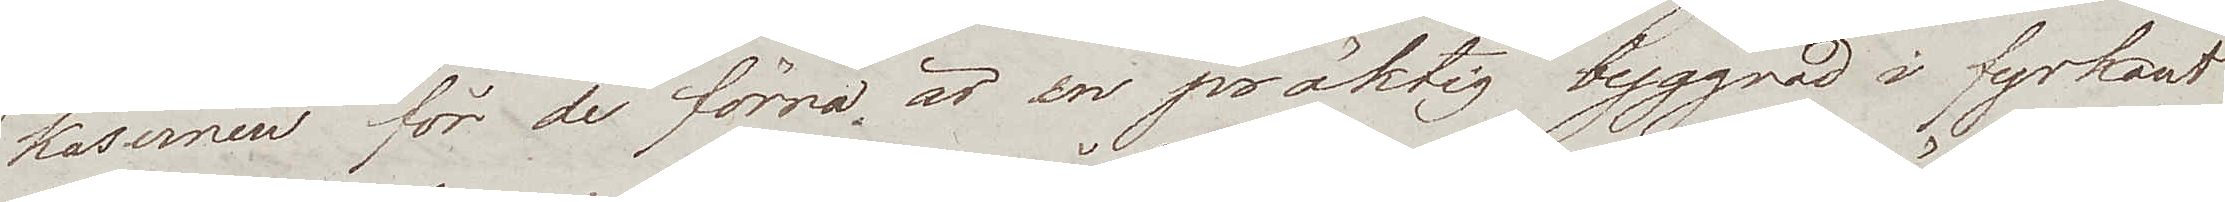Kasernen för de förra är en präktig byggnad i fyrkant
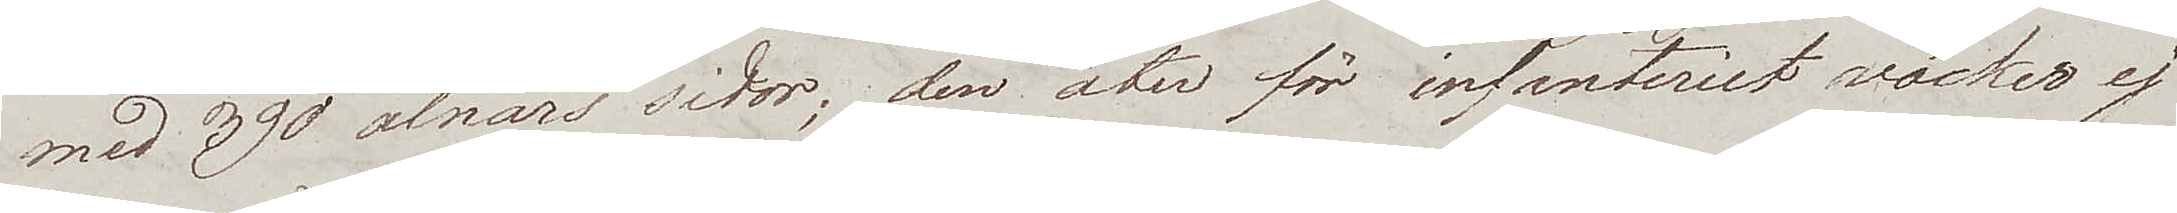med 390 alnars sidor; den åter för infanteriet väcker ej
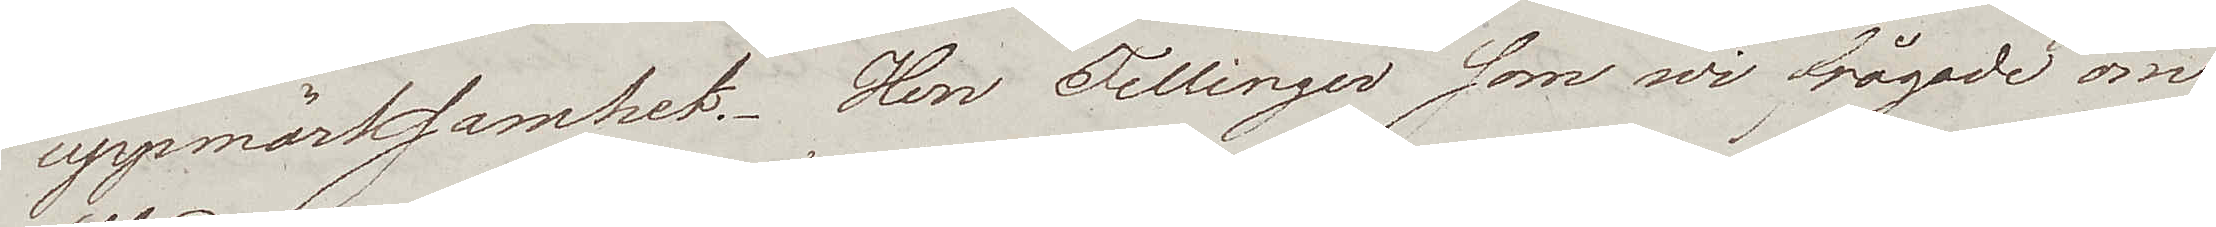uppmärksamhet. Herr Fellinger som wi frågade om
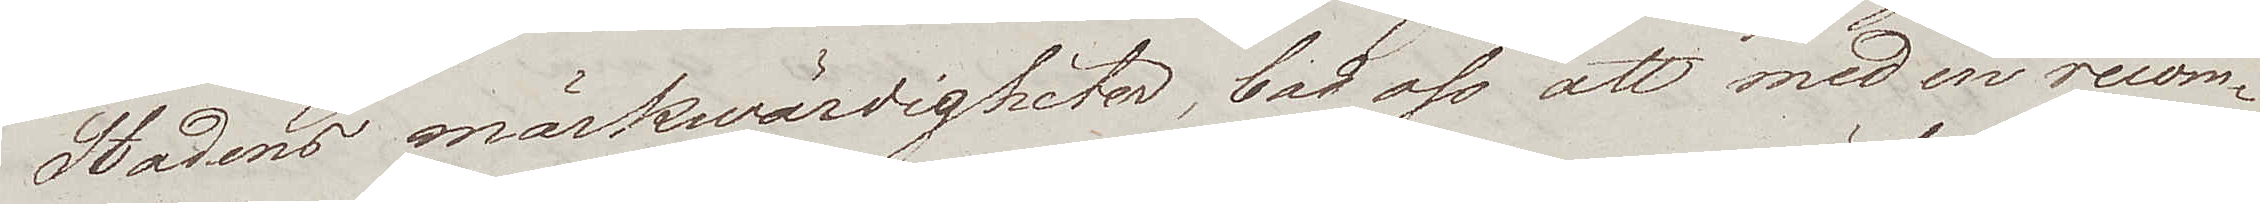Stadens märkwärdigheter, bad oss att med en recom¬
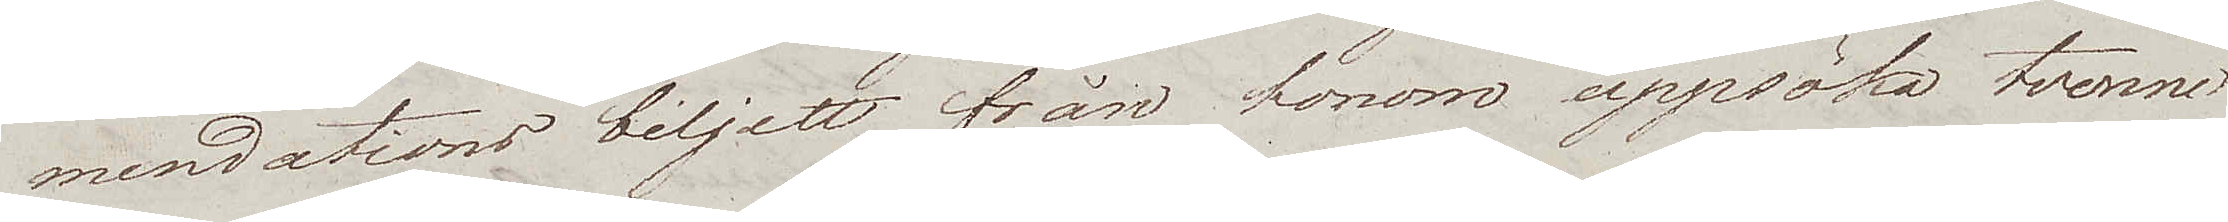mendations biljett från honom uppsöka tvenne
